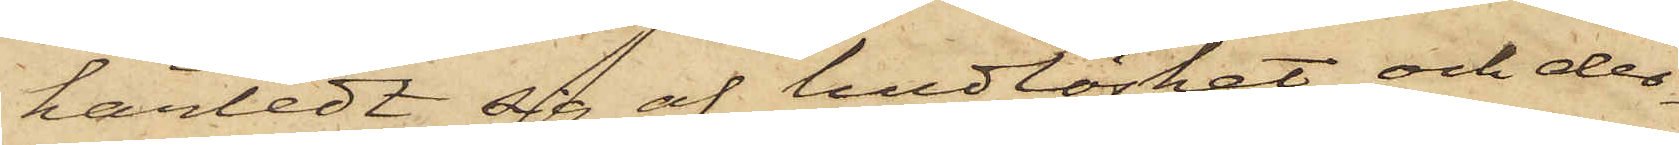härledt sig af hudlöshet och der¬
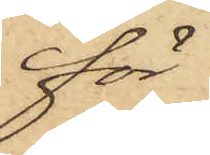för
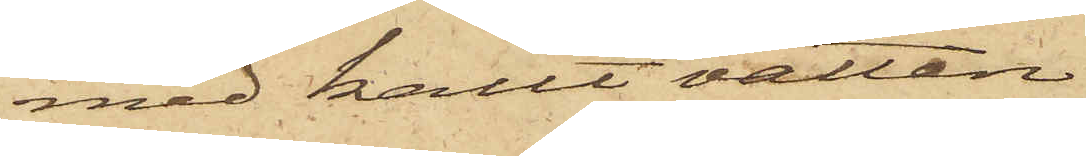med kallt vatten
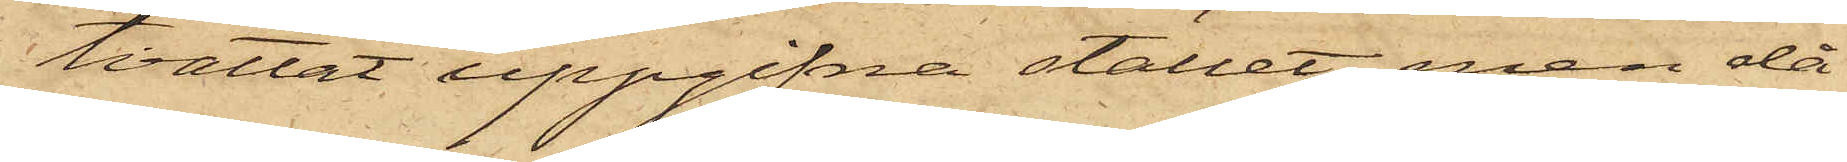tvättat uppgifna stället, men då
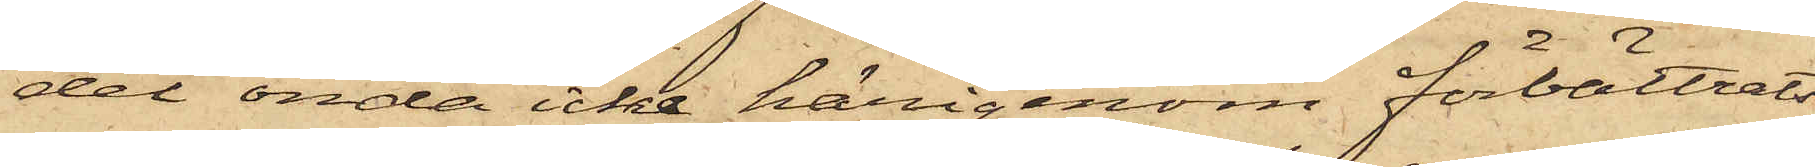det onda icke härigenom förbättrats
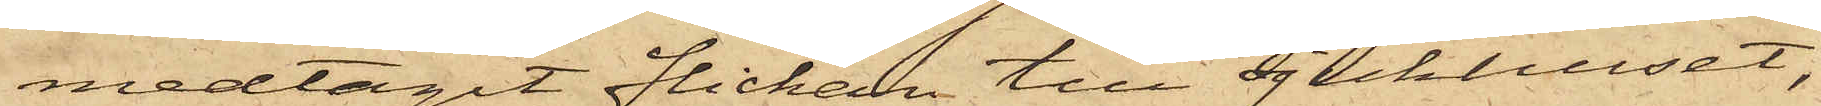medtagit flickan till Sjukhuset,
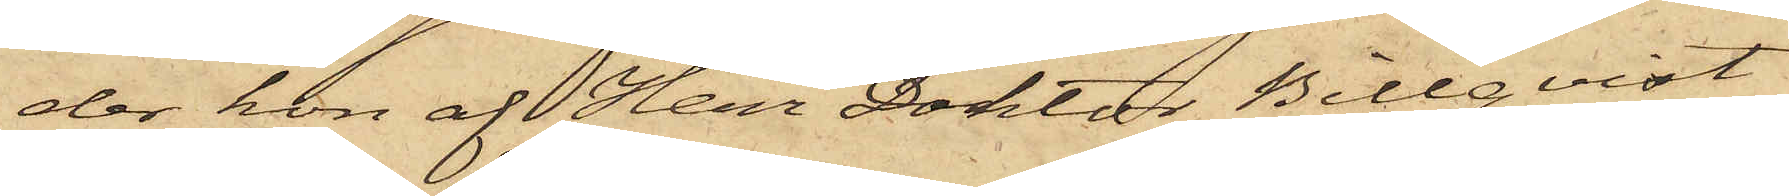der hon af Herr Doktor Billqvist
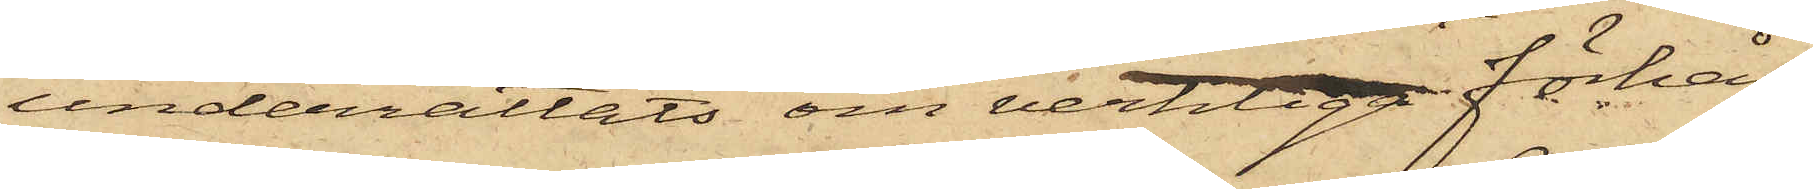underrättats om verkliga förhål¬
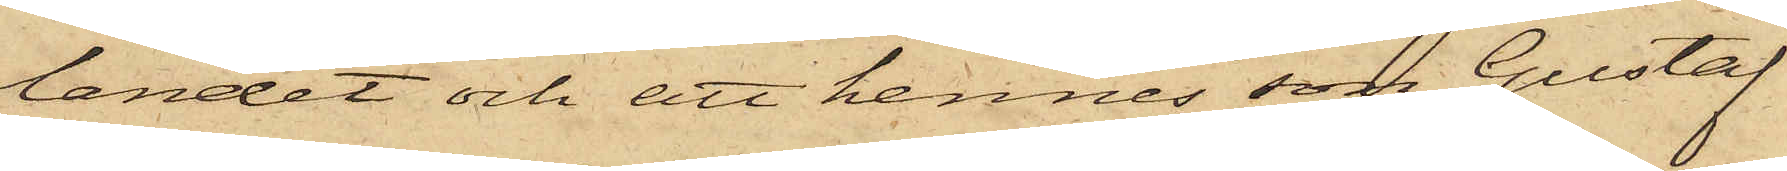landet och att hennes son Gustaf
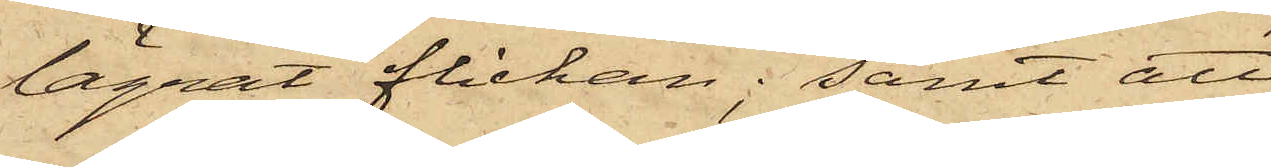lägrat flickan; samt att
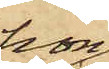hon
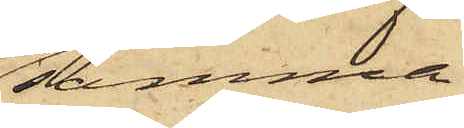samma
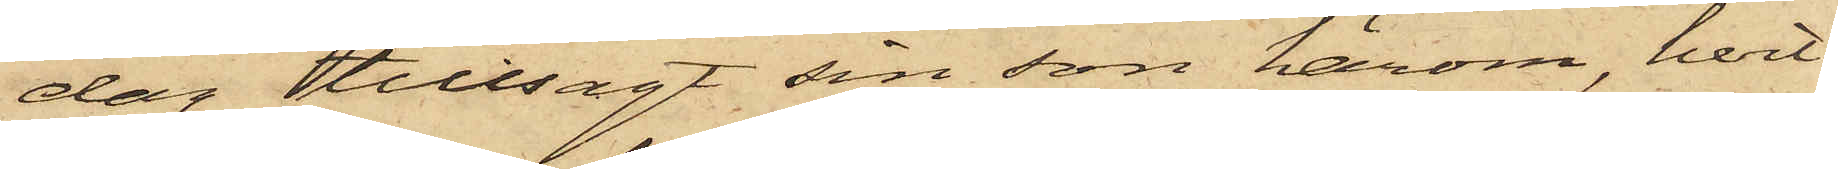dag tillsagt sin son härom, hvil¬
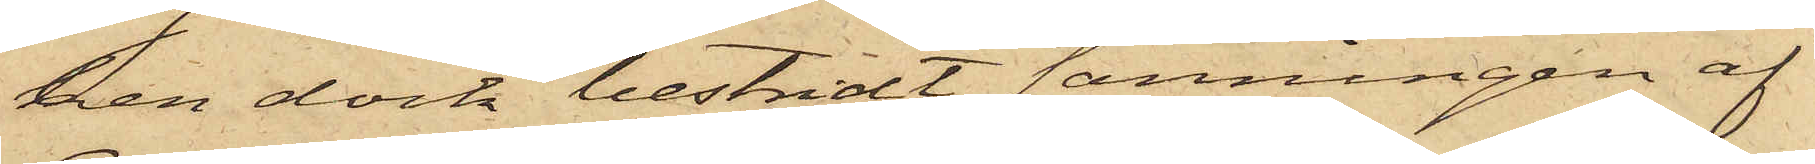ken dock bestridt sanningen af
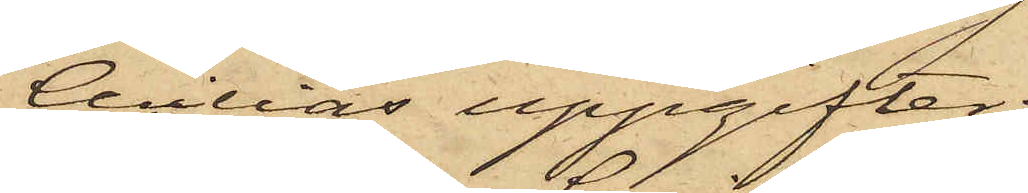Cecilias uppgifter;
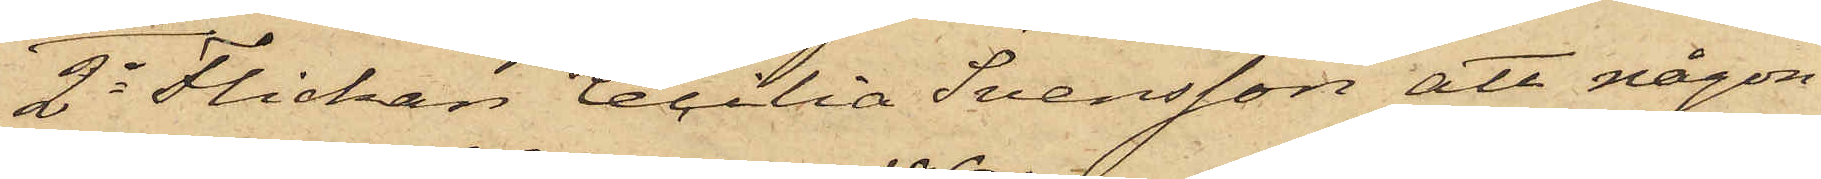2o Flickan Cecilia Svensson att någon
